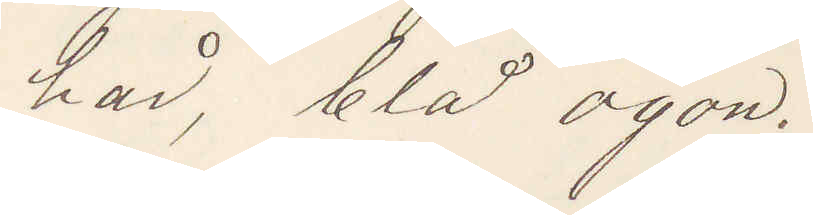hår, blå ögon.
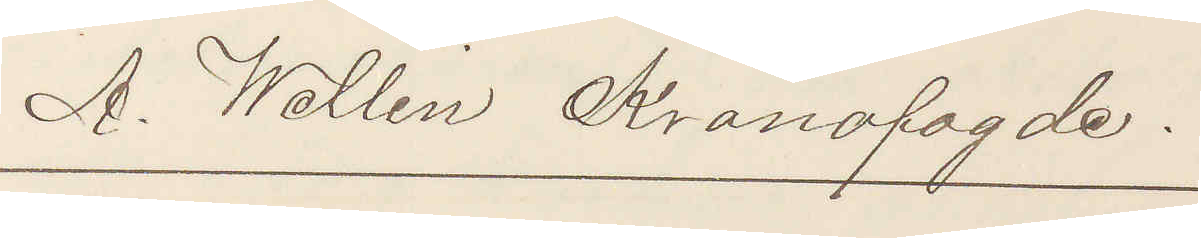A. Wallin Kronofogde.
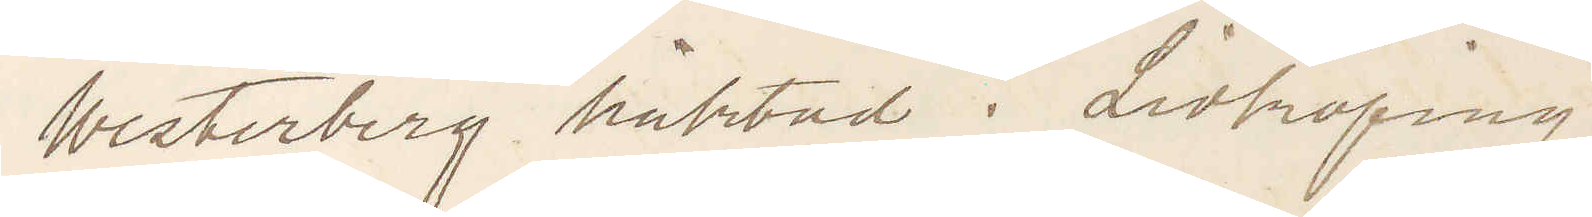Westerberg häktad i Lidköping
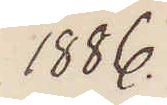1886.
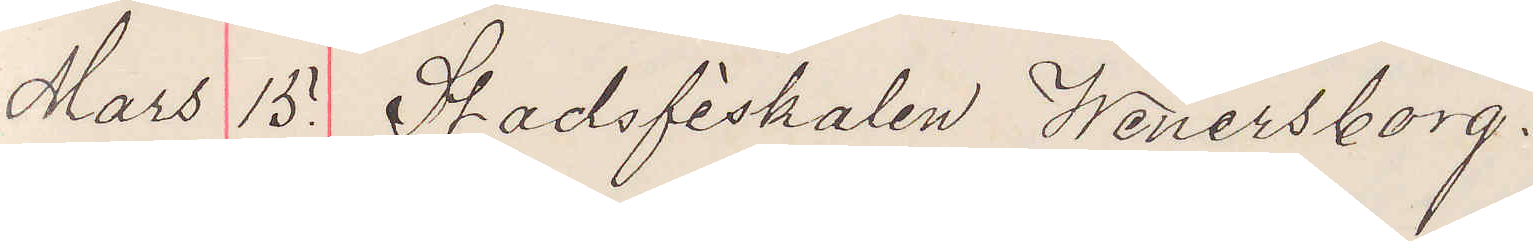Mars 15. Stadsfiskalen Wenersborg.
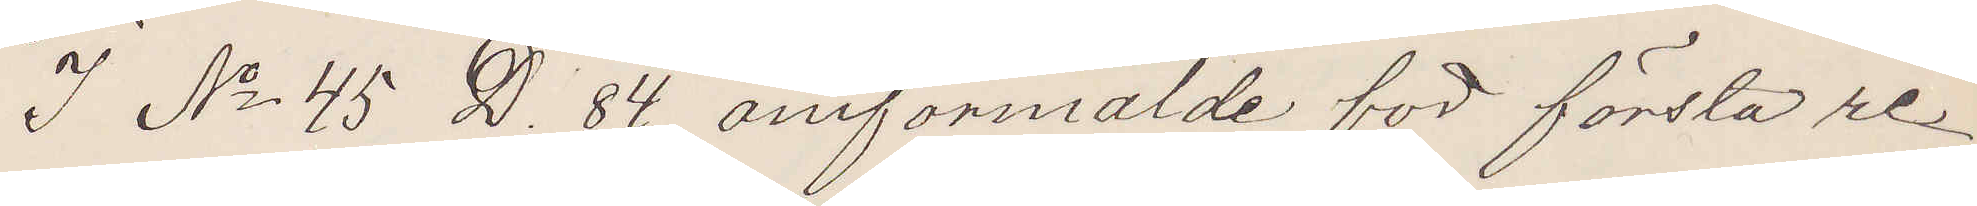I No 45 D. 84 omförmälde för första re¬
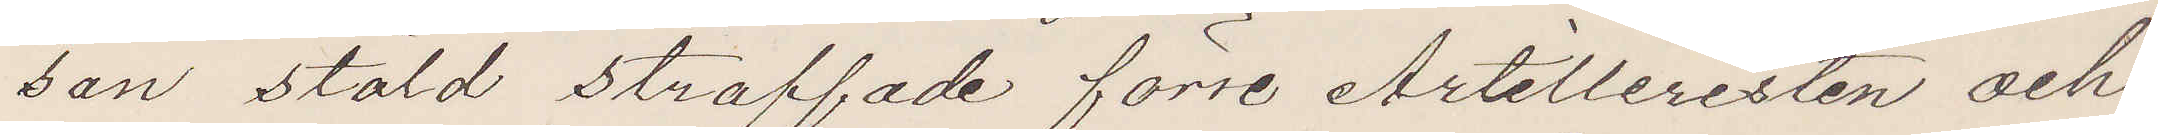san stöld straffade förre Artilleristen och
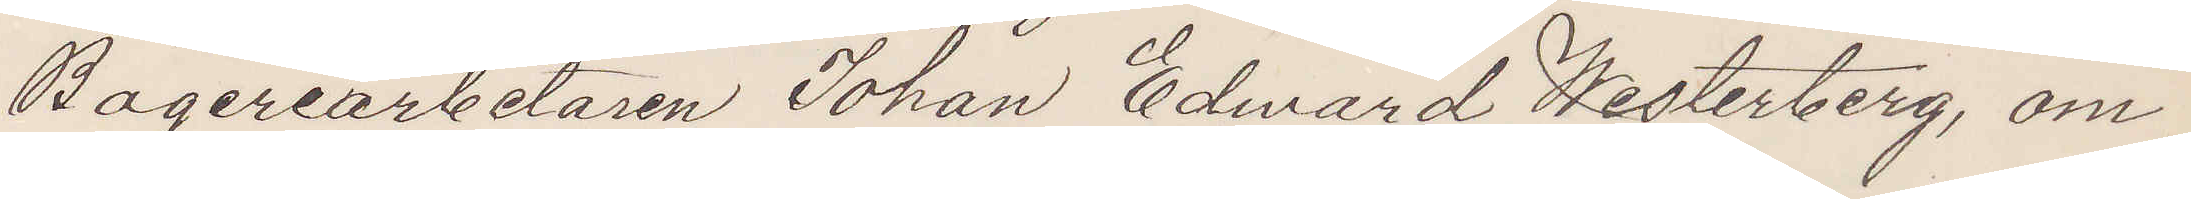Bageriarbetaren Johan Edvard Westerberg, om
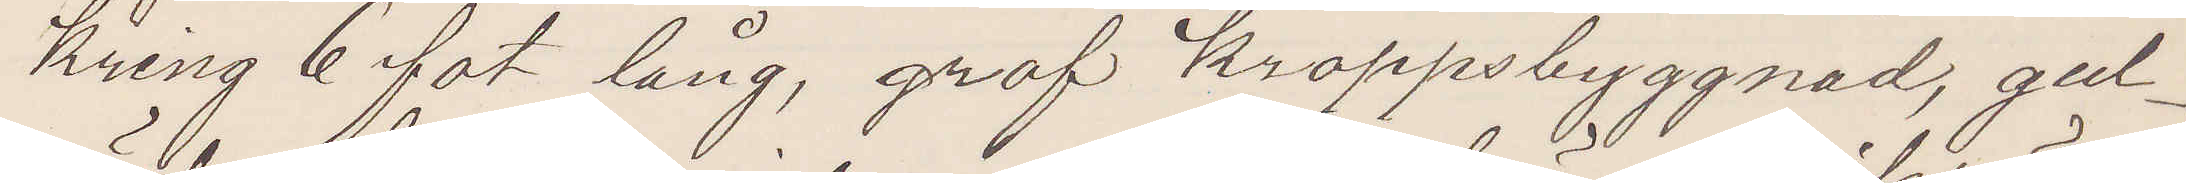kring 6 fot lång, grof kroppsbyggnad, gul¬
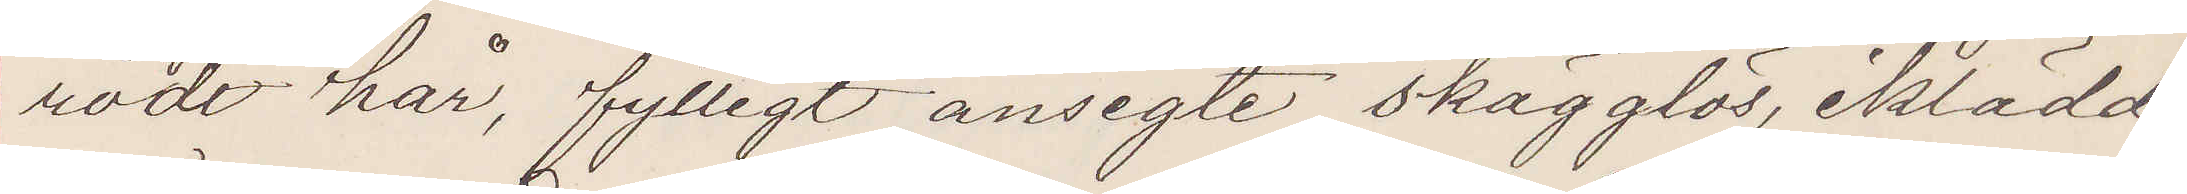rödt här, fylligt ansigte skägglös, iklädd
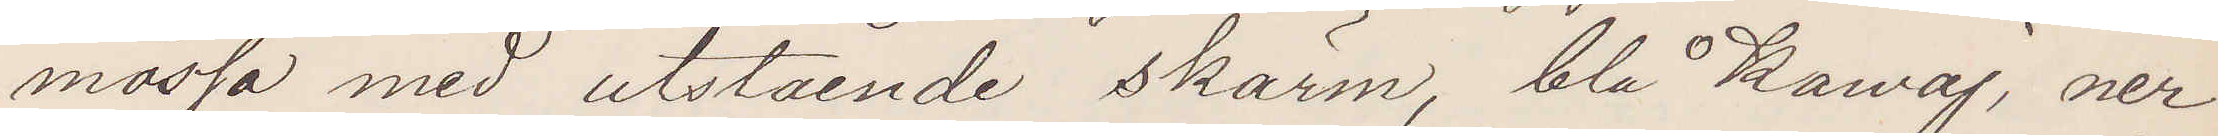mössa med utstående skärm, blå Kavaj, ner¬
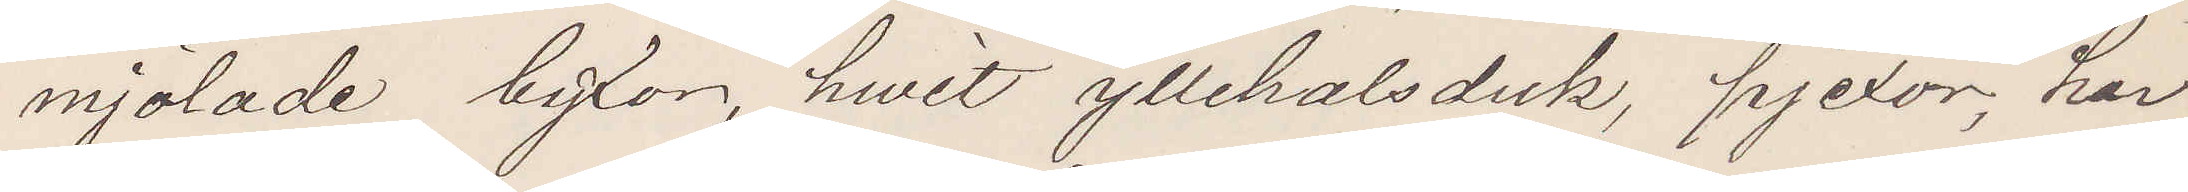mjölade byxor, hwit yllehalsduk, pjexor, har
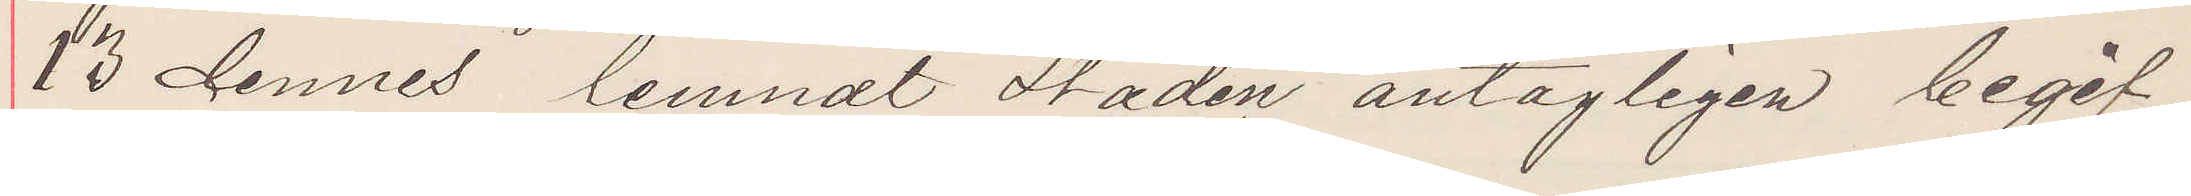23 dennes lemnat staden antagligen begif¬
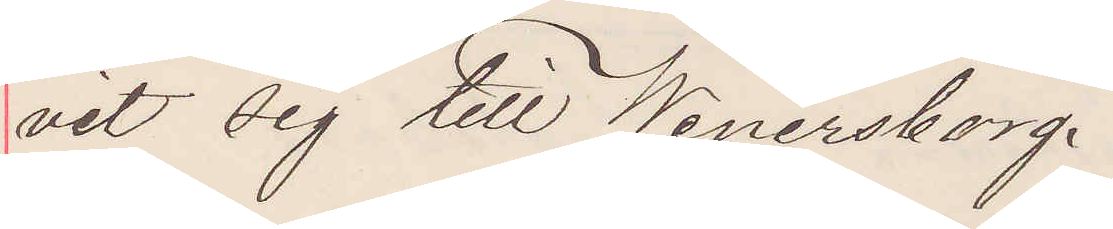vit sig till Wenersborg.
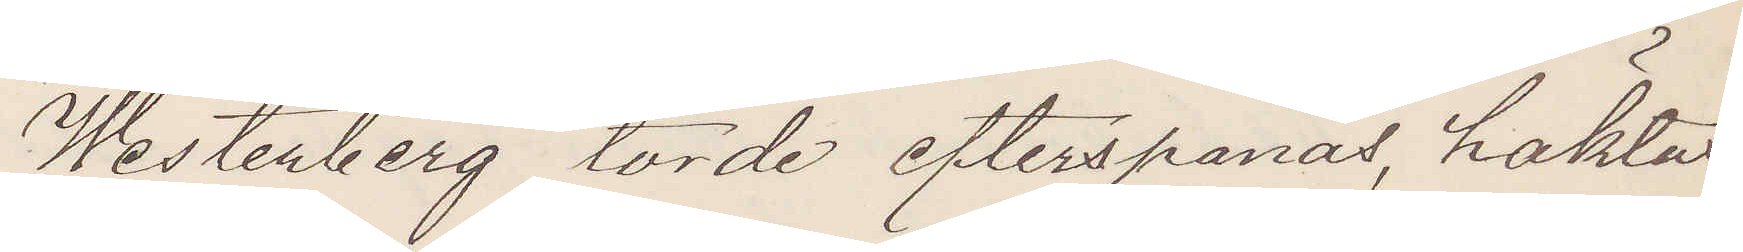Westerberg torde efterspanas, häktas
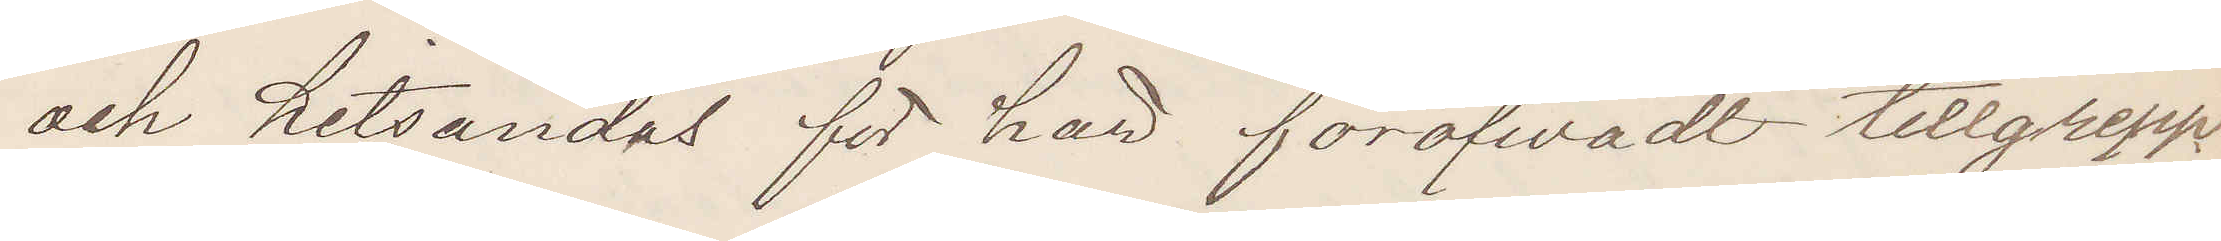och hitsändas för här föröfvadt tillgrepp.
